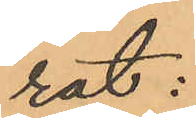lat:
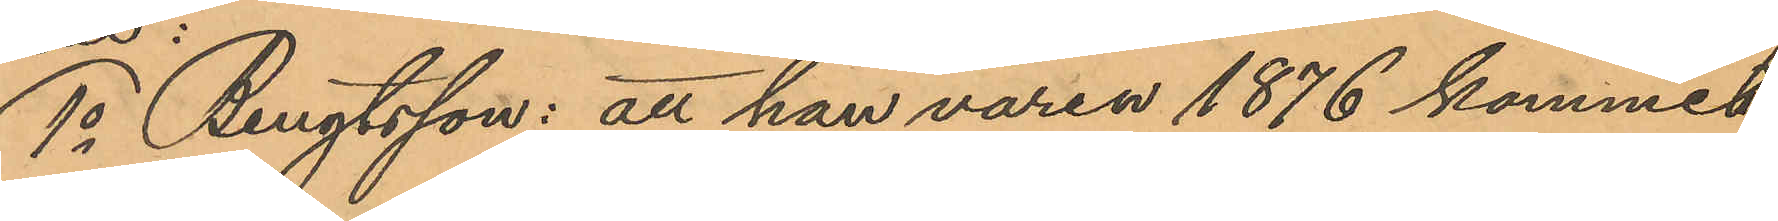1o Bengtsson: att han våren 1876 kommit
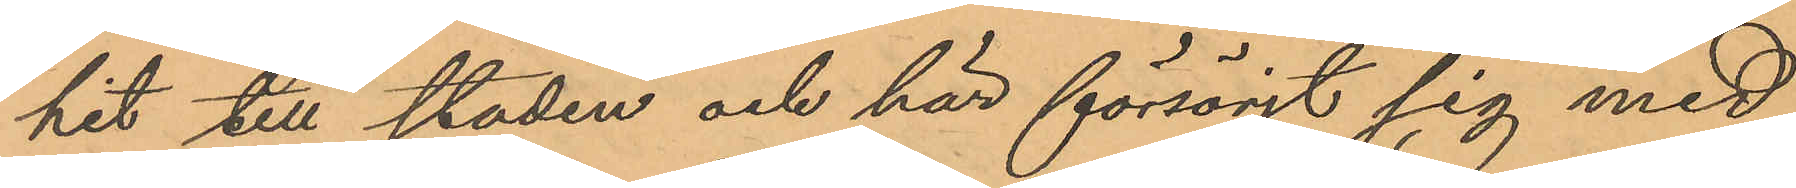hit till staden och här försörjt sig med
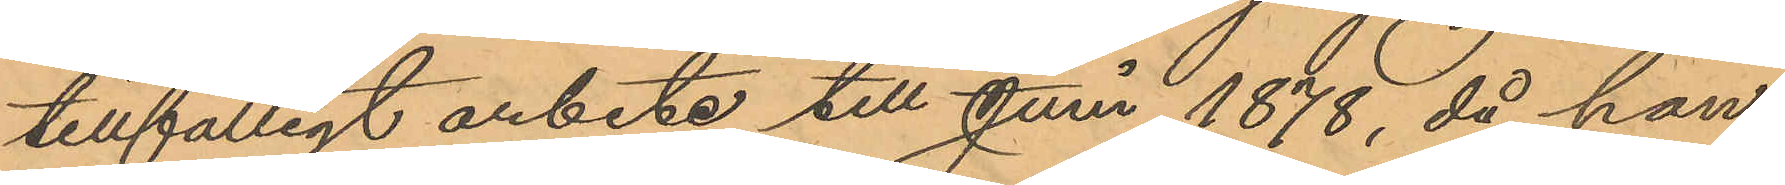tillfälligt arbete till Juni 1878, då han
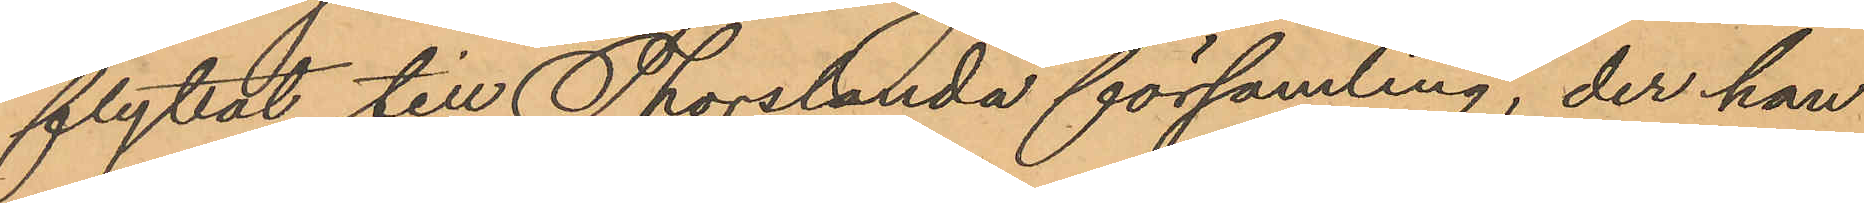flyttat till Thorslanda församling, der han
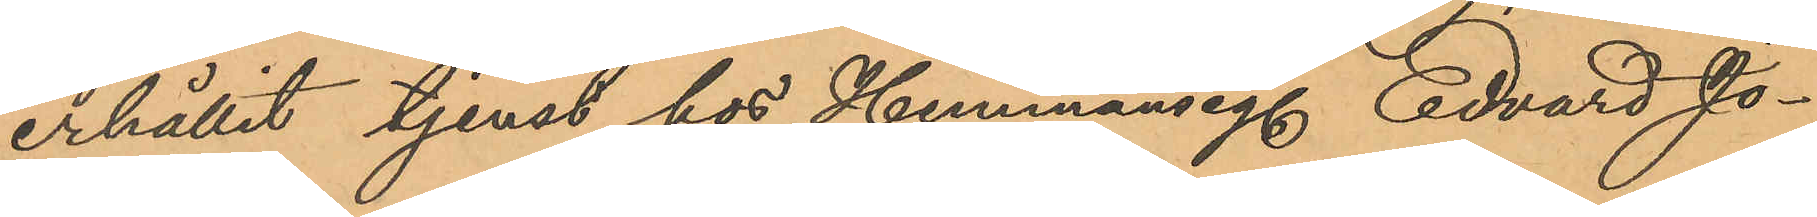erhållit tjenst hos Hemmanseg. Edvard Jo¬
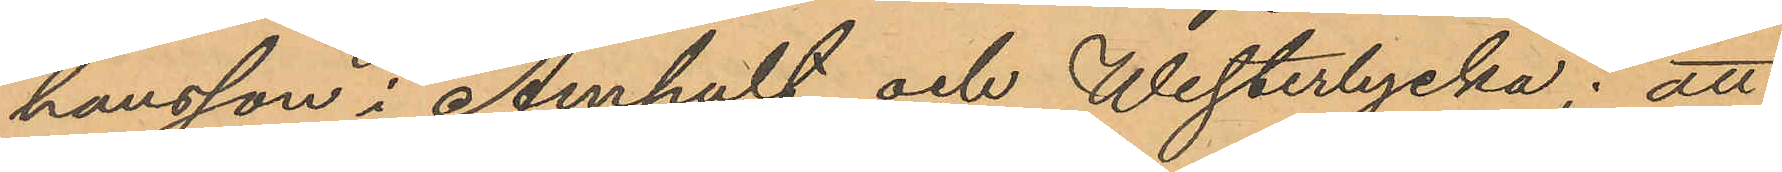hansson i Amhult och Westerlycka; att
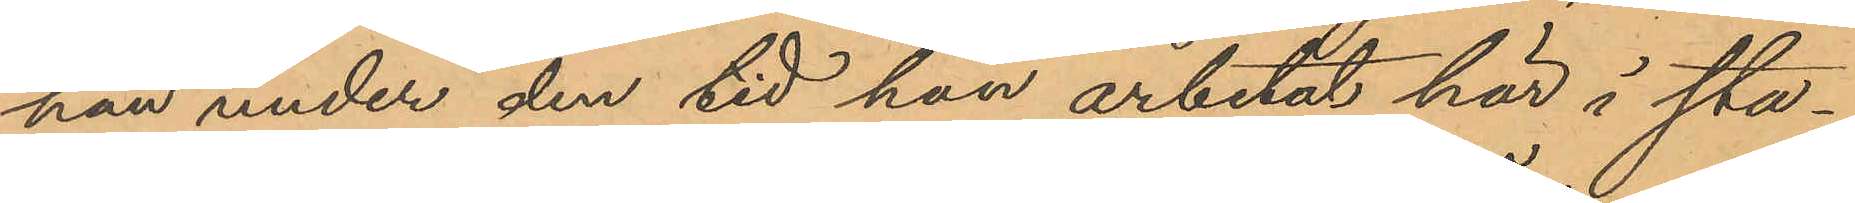han under den tid han arbetat här i sta¬
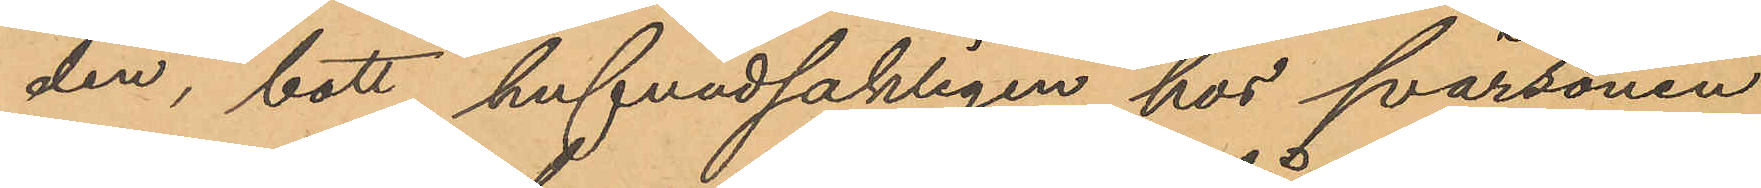den, bott hufvudsakligen hos svärsonen
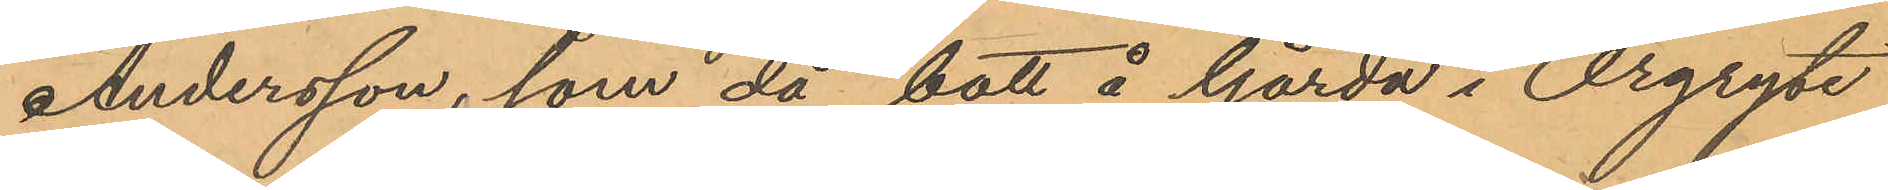Andersson, som då bott å Gårda i Örgryte
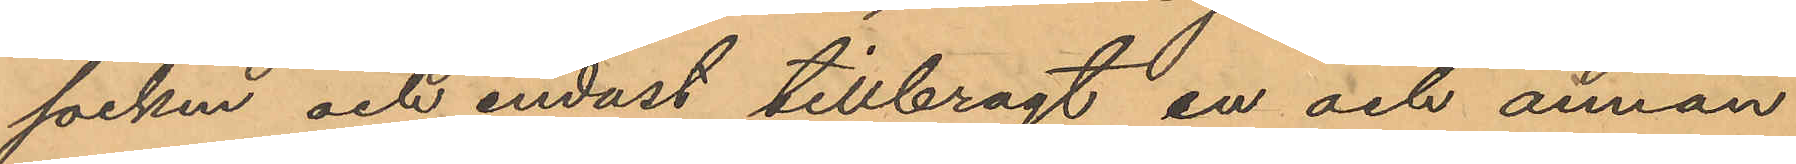socken och endast tillbragt en och annan
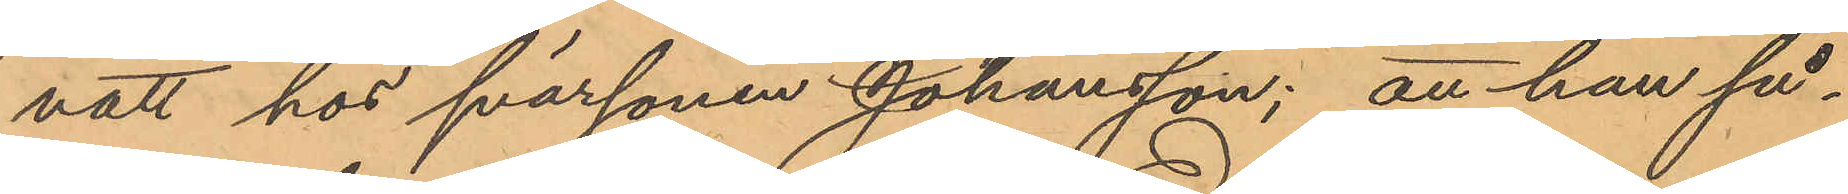natt hos svärsonen Johansson; att han så¬
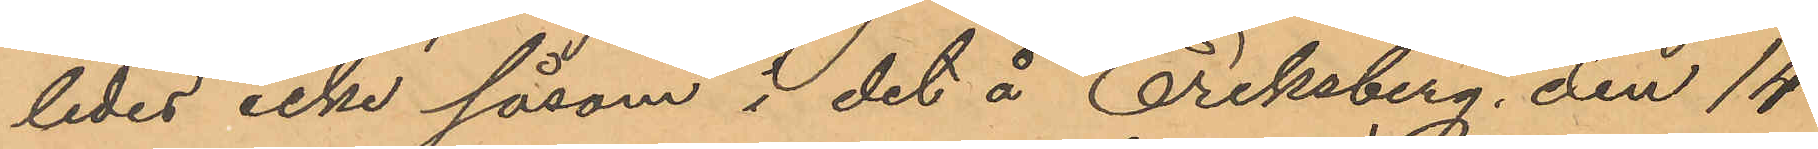ledes icke såsom i det å Eriksberg den 14
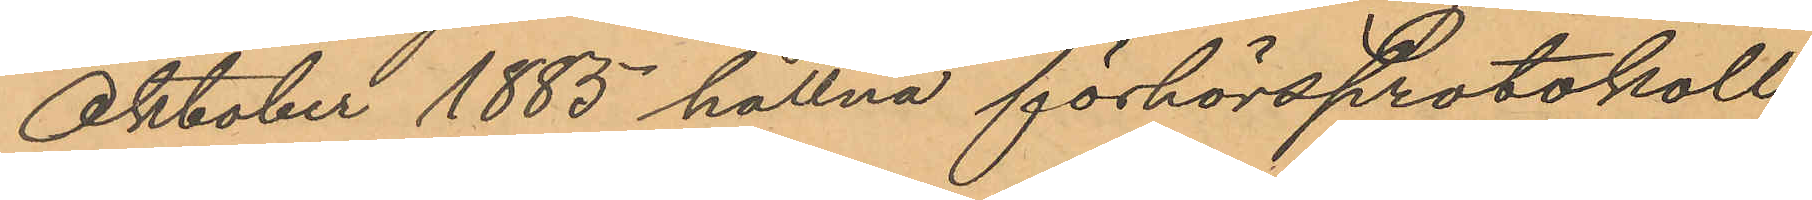Oktober 1885 hållna förhörsprotokoll
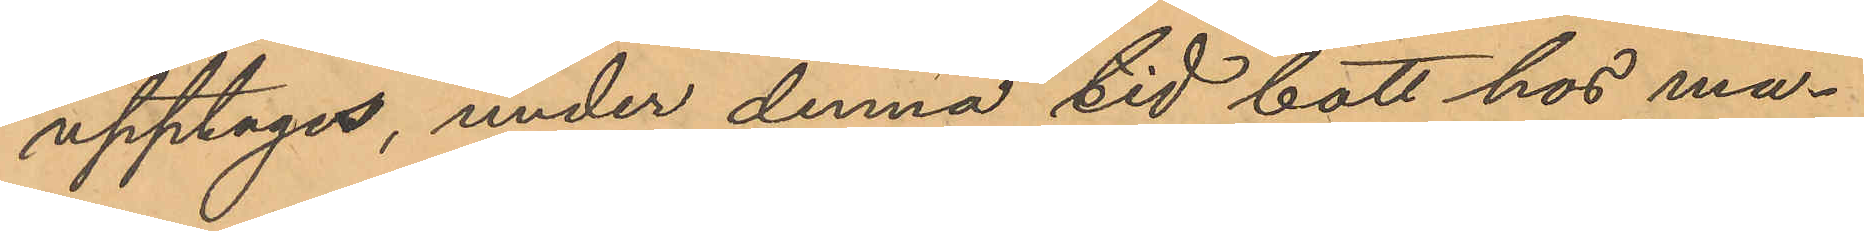upptagis, under denna tid bott hos ma¬
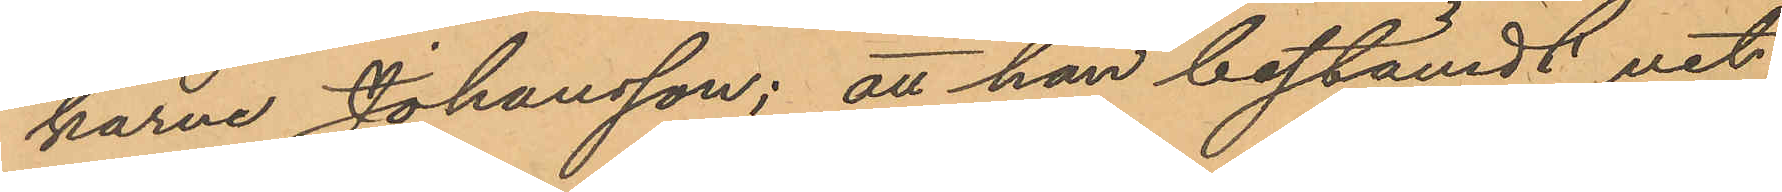karne Johansson; att han bestämdt vet
